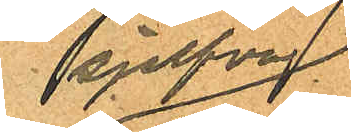sjelfva
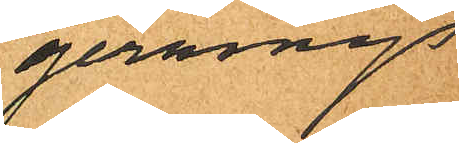gernings
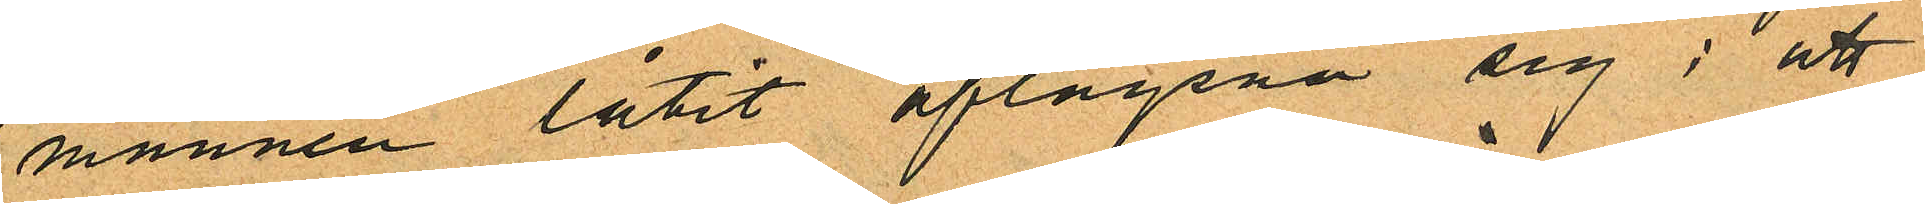mannen låtit aflägsna sig; att
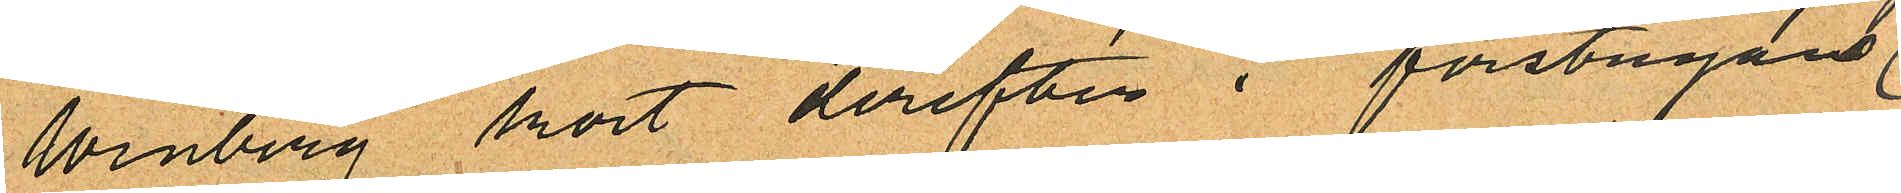Winberg kort derefter i förstugans
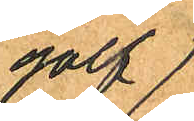golf
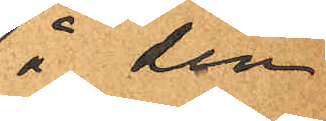å den
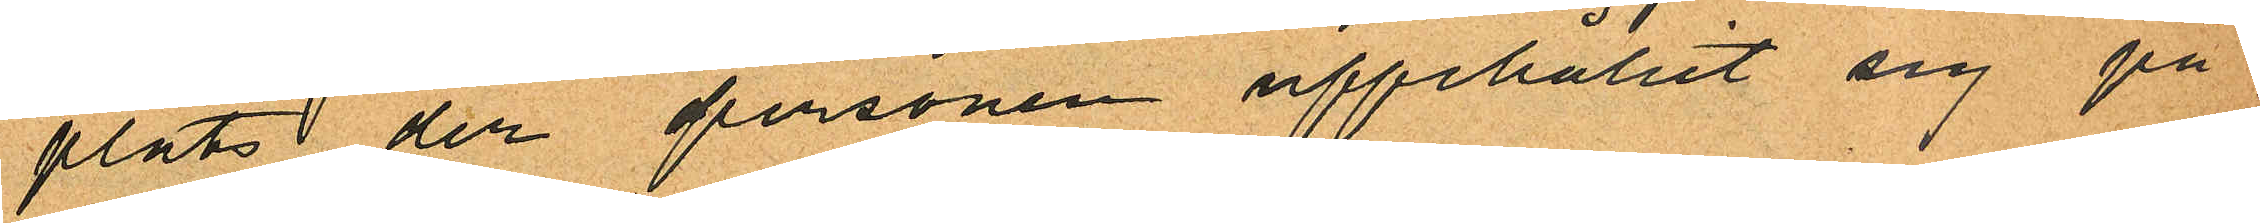plats der personen uppehållit sig på
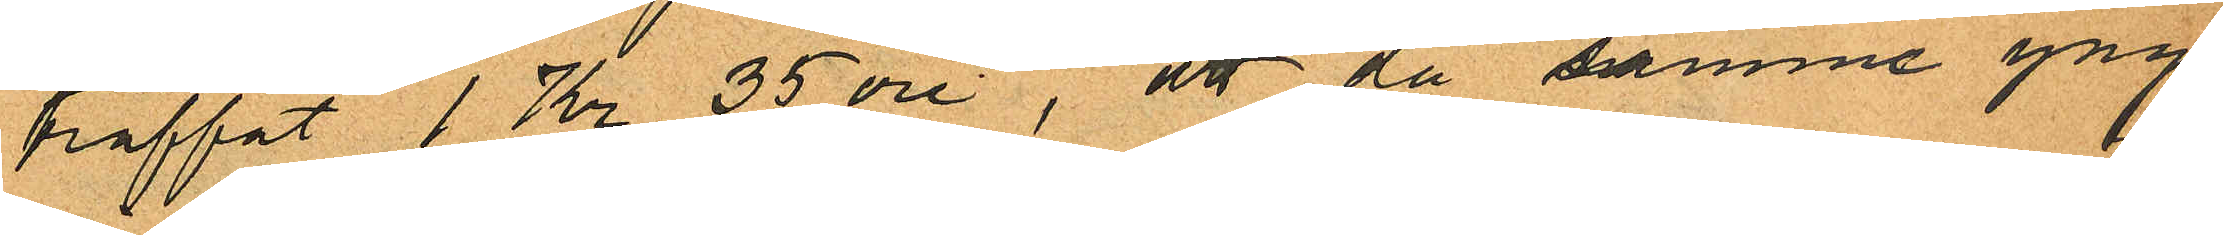träffat 1 Kr. 35 öre, att då samme yng¬
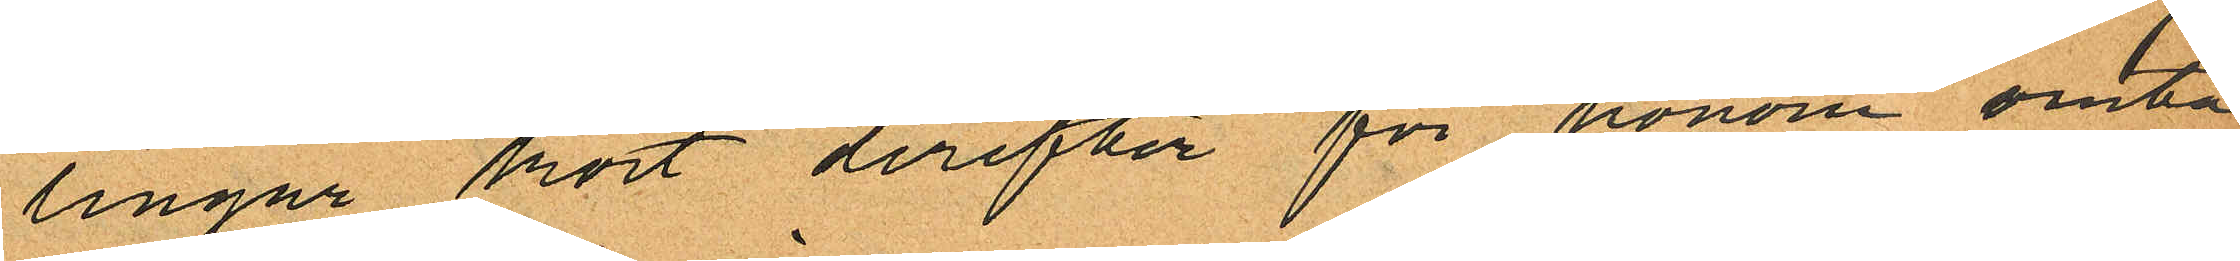lingar kort derefter för honom omta¬
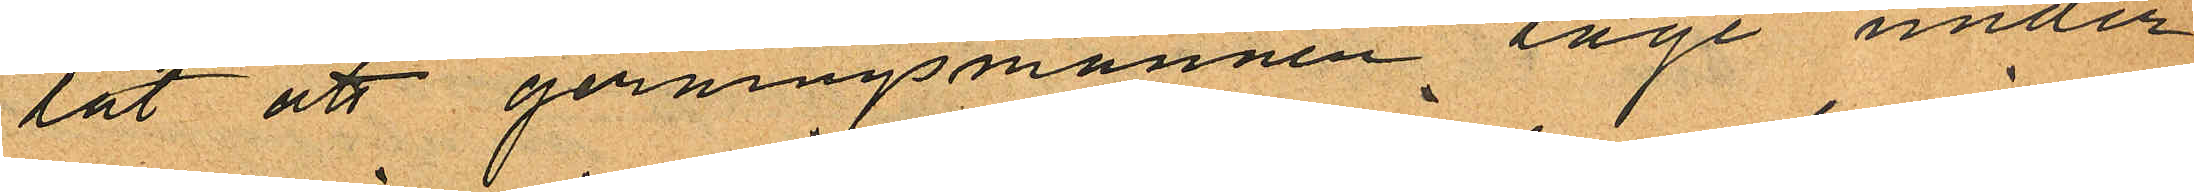lat att gerningsmannen låge under
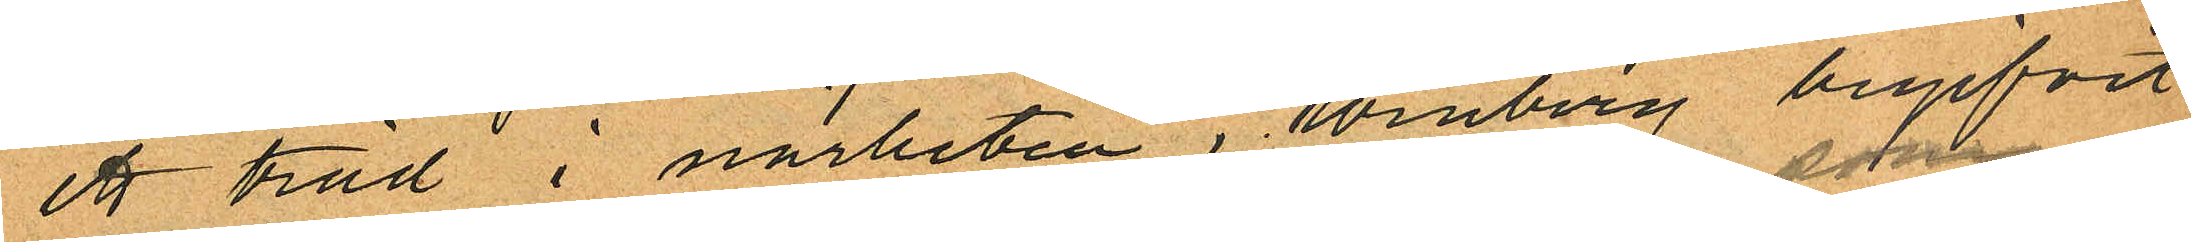ett träd i närheten, Winberg begifvit
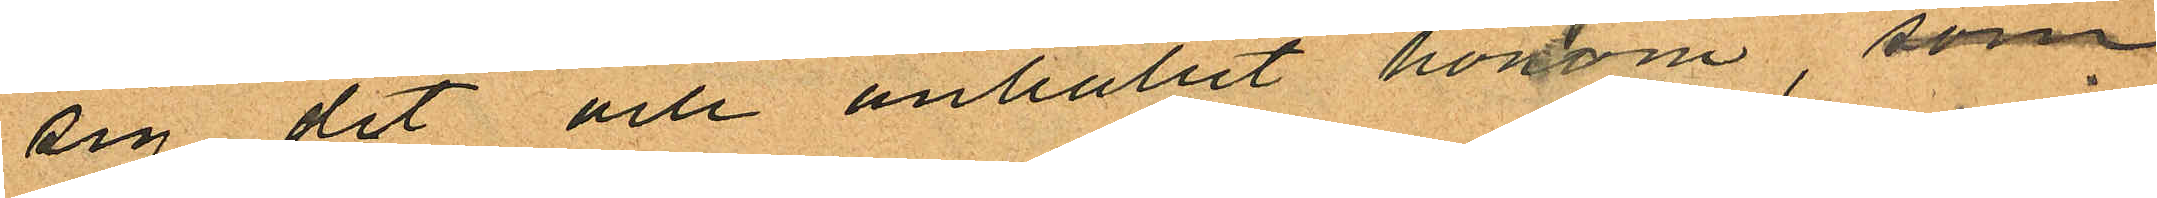sig dit och anhållit honom, som
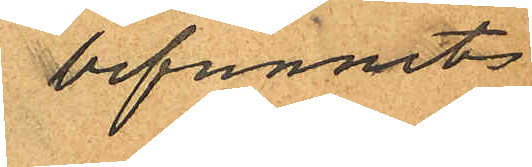befunnits
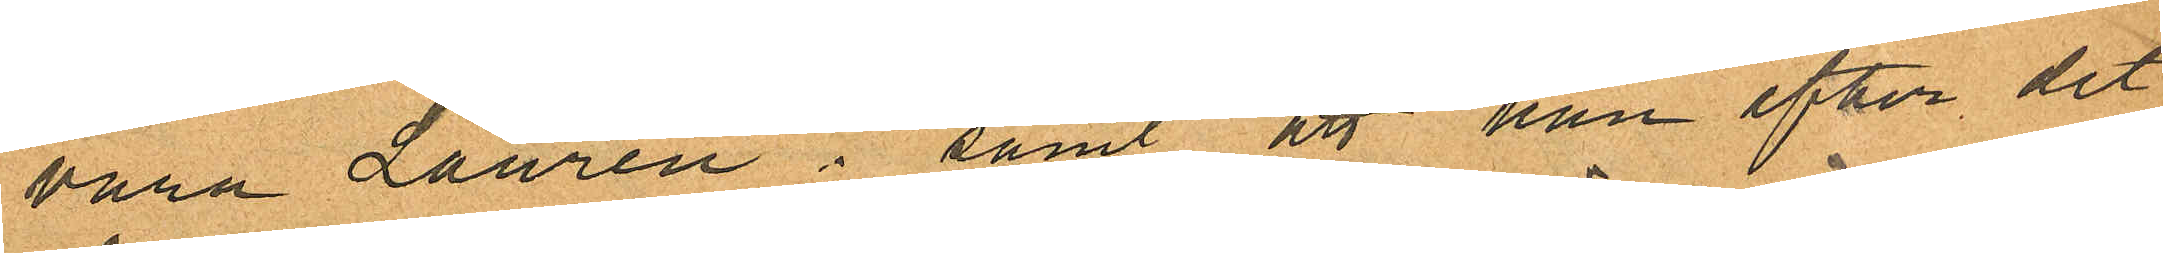vara Laurén; samt att han efter det
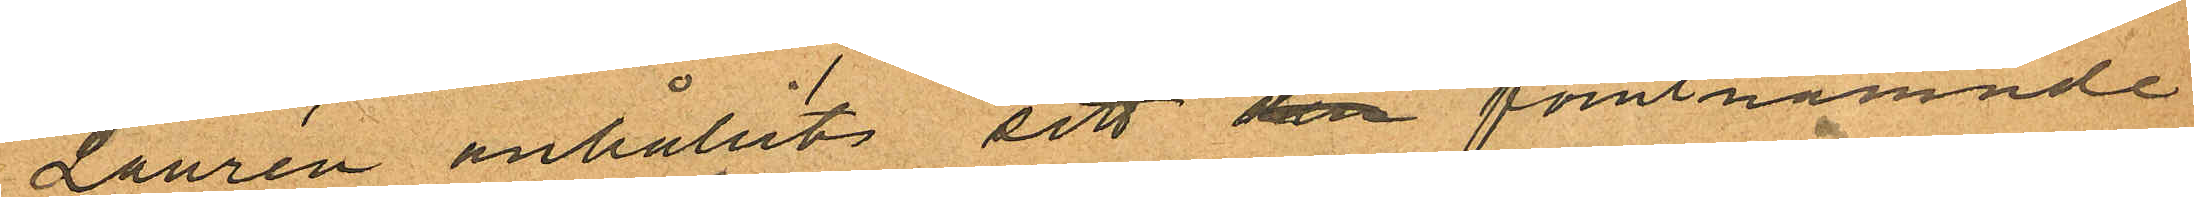Laurén anhållits sett den förutnämnde
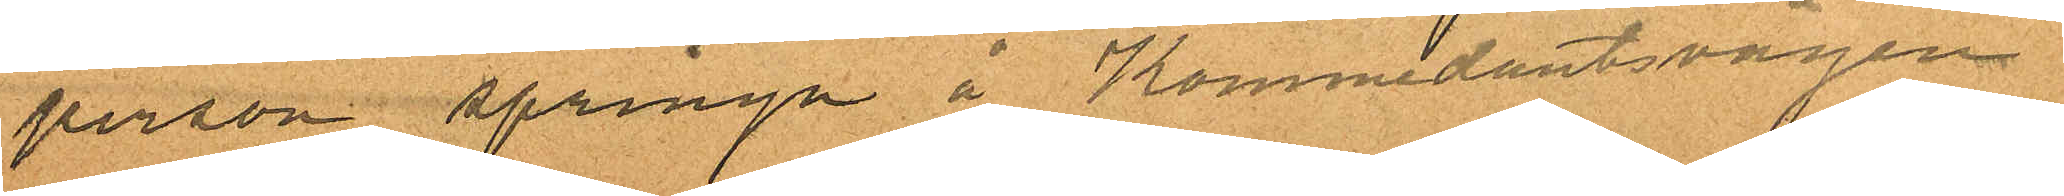person springa å Kommedantsvägen
